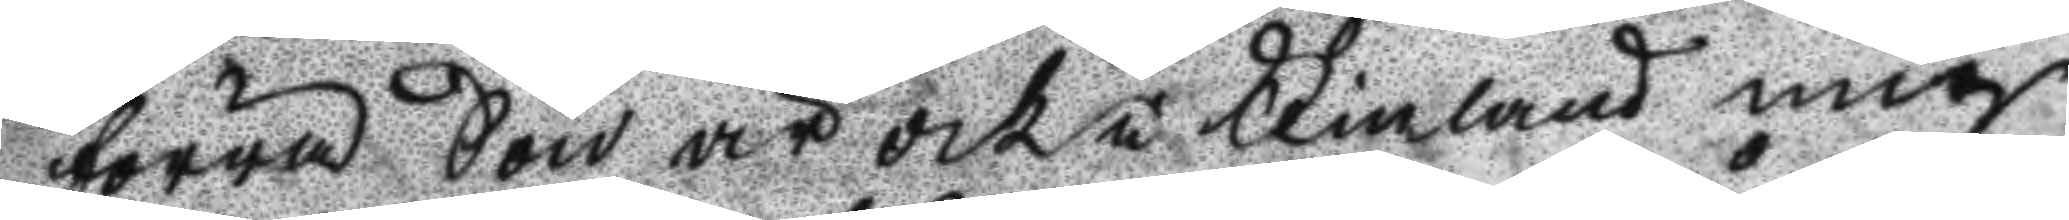förra Son är ock i Finland mig
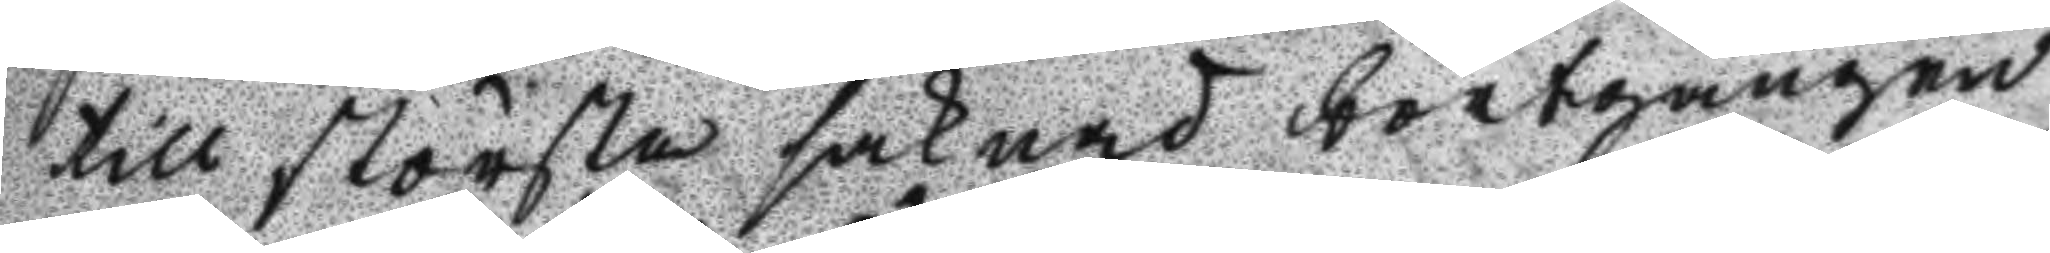till största saknad bortgången
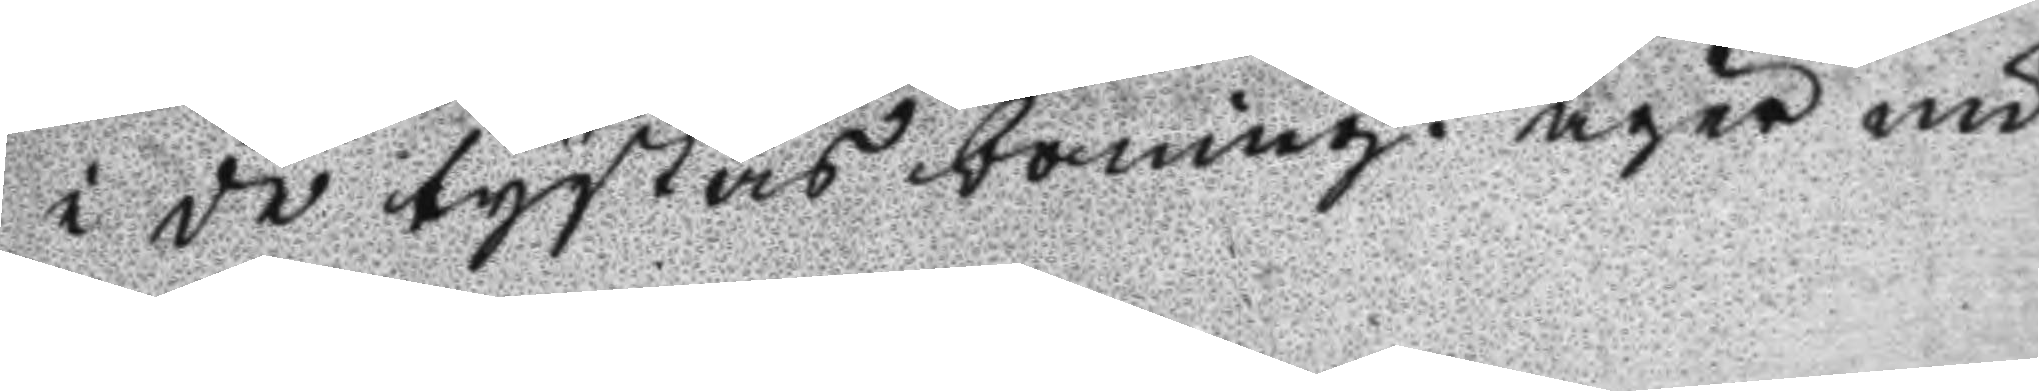i de tystas boning. äger nu
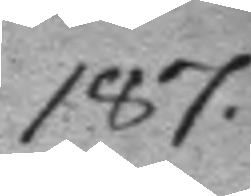187.
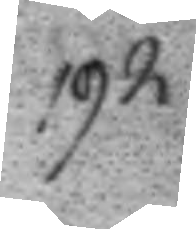192.
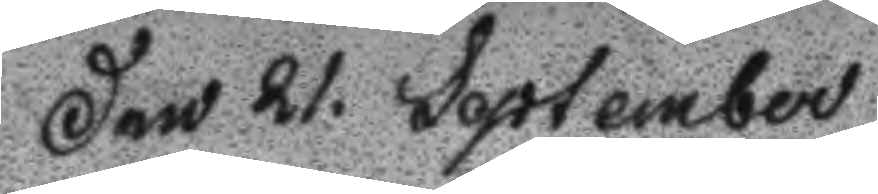Den 21. September
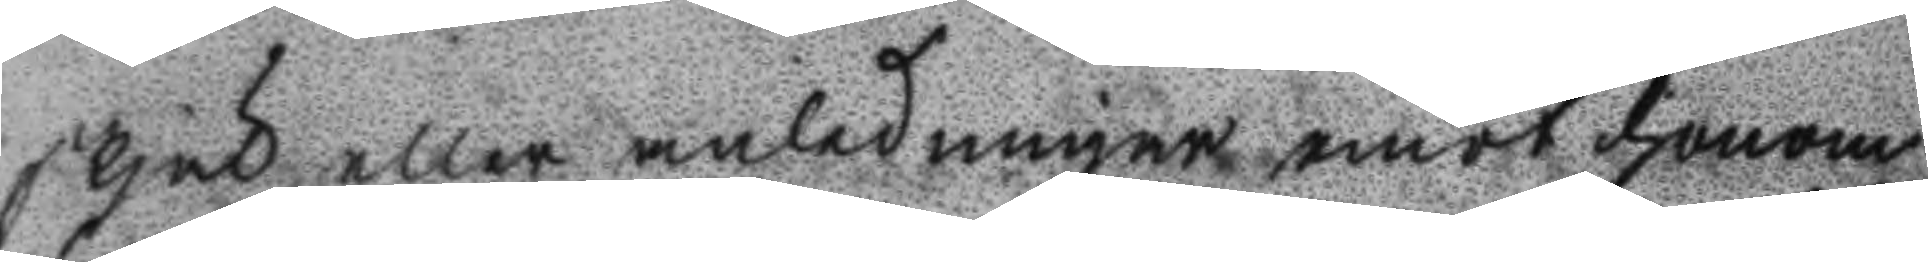skjäl eller anledning emot honom
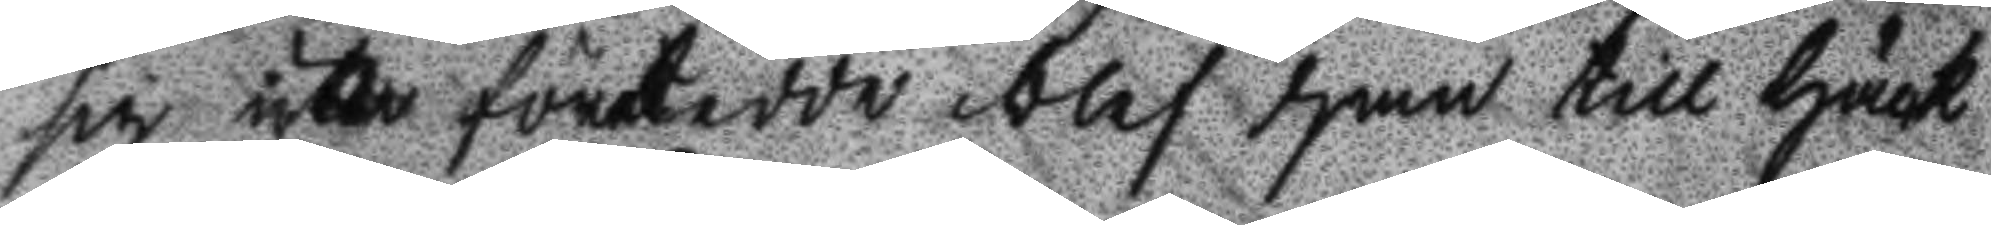sig icke företedde blef han till häck
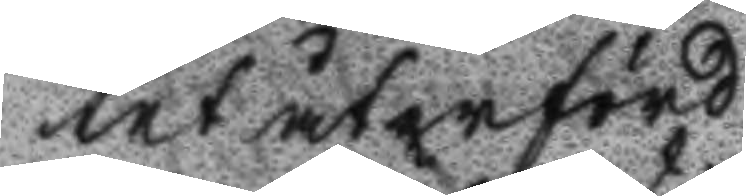tet återförd.
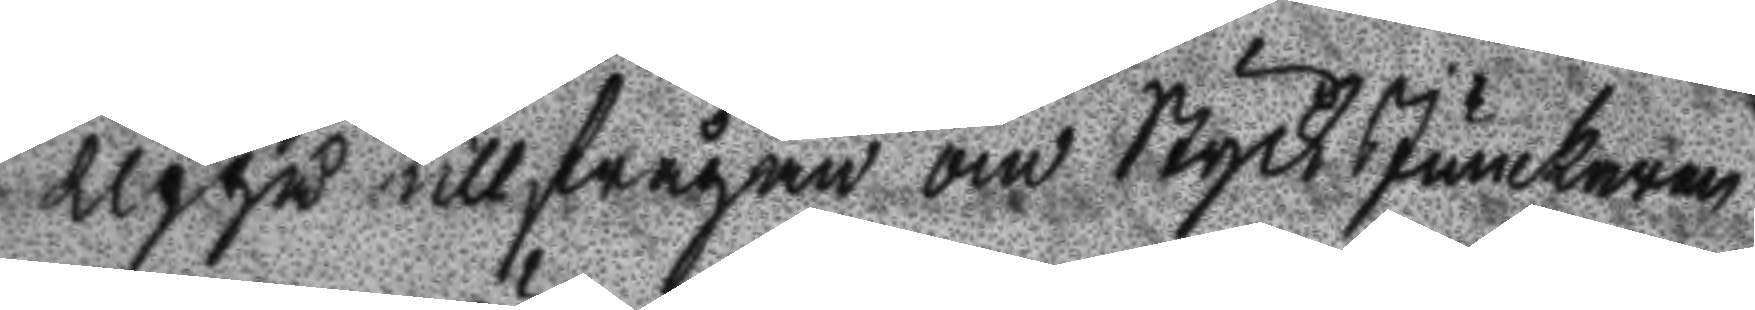Uppå tillfrågan om Styck Junckaren
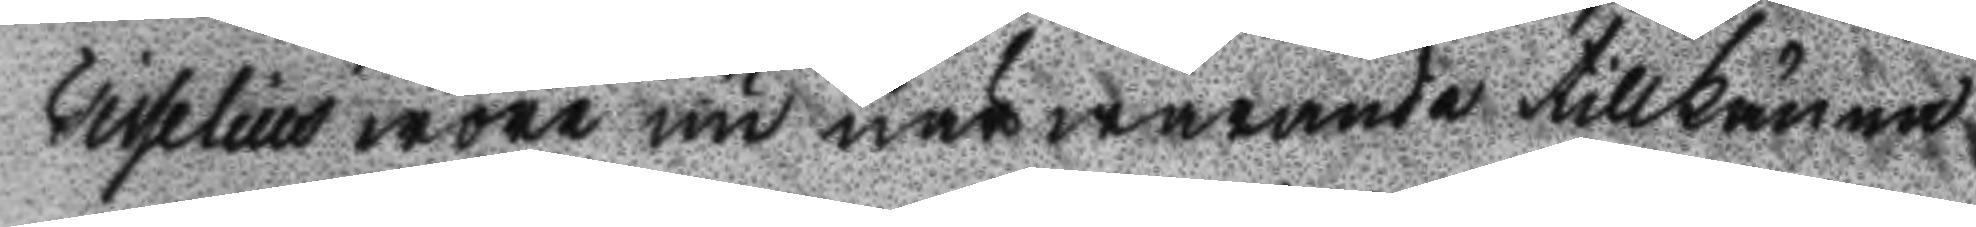Tisselius wore nu närwarande tillkänna
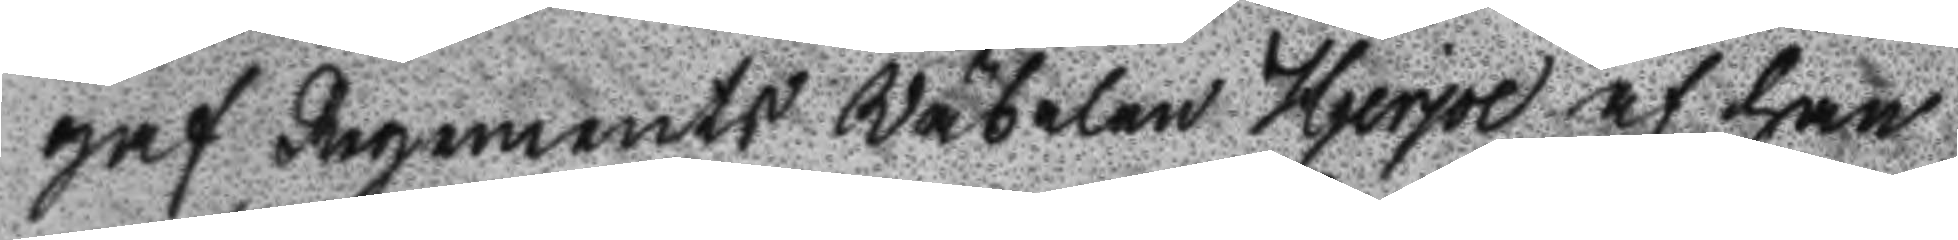haf Regements Wäbelen Hjerpe at han
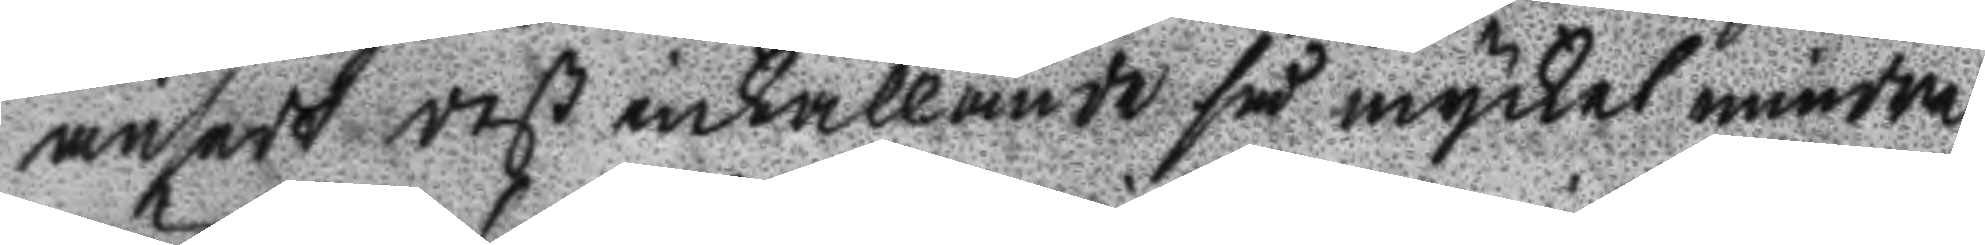ansedt deß inkallande så mycket mindre
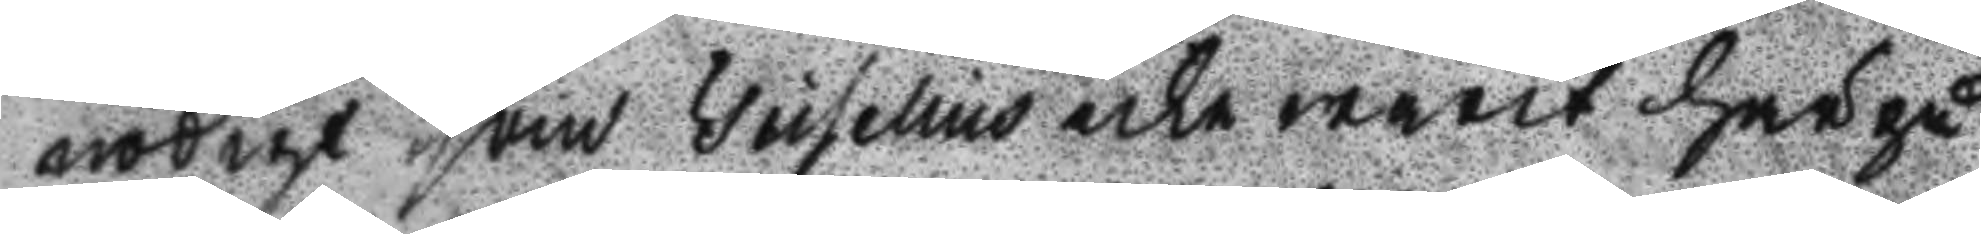nödigt som Tisselius icke warit här på
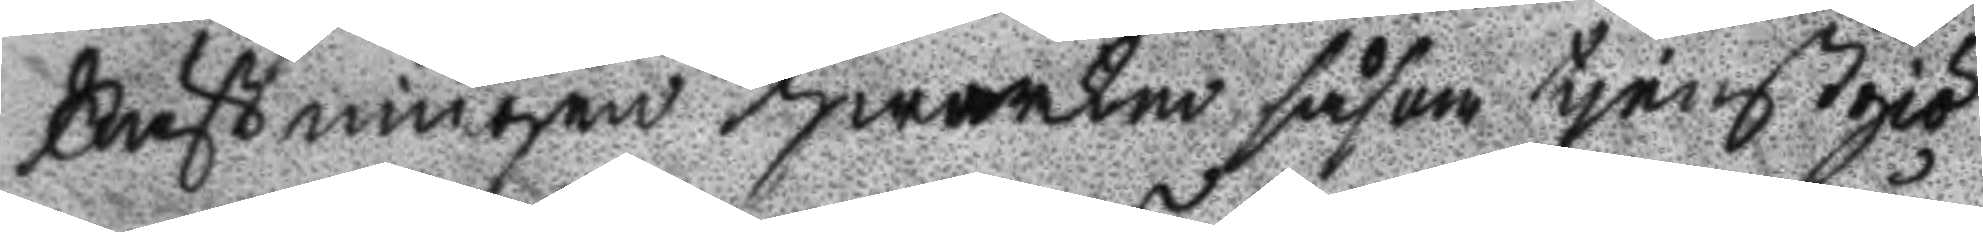Fästningen hwarken såsom tjenstgiö
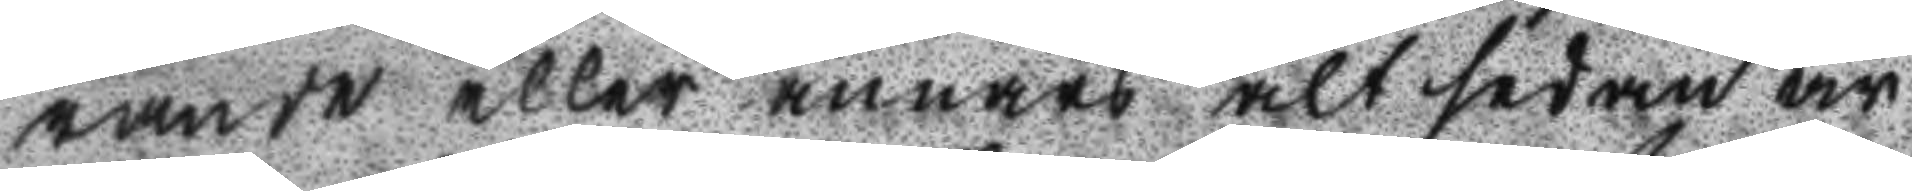rande eller annars alt sedan år
